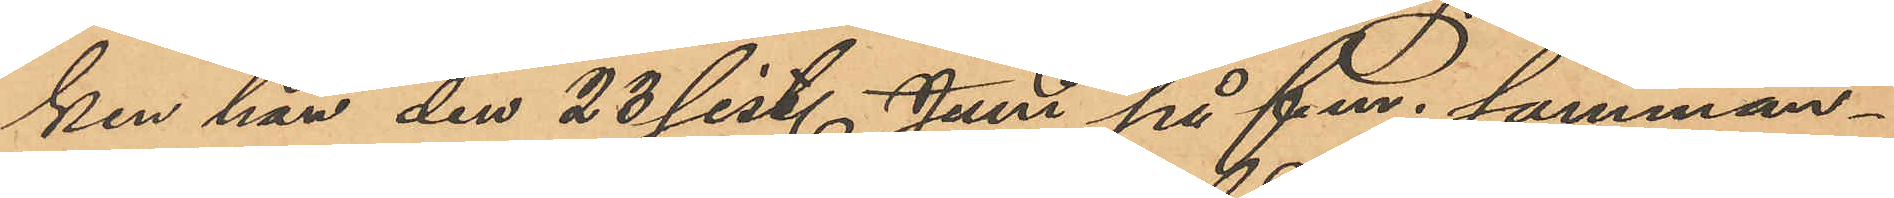ken han den 23 sist. Juni på f.m. samman¬
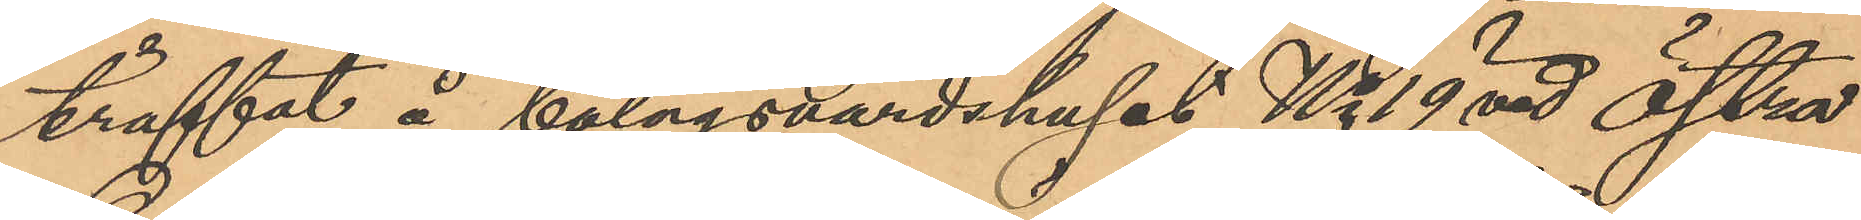träffat å bolagsvärdshuset No 19 vid Östra
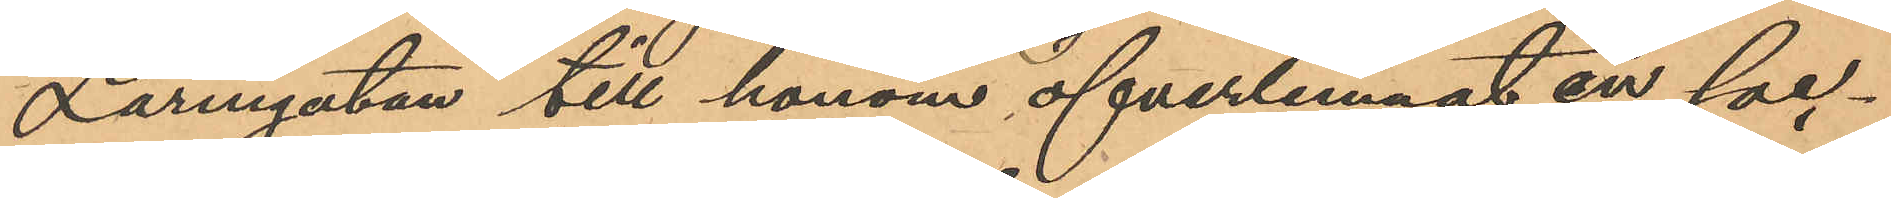Larmgatan till honom öfverlemnat en soc¬
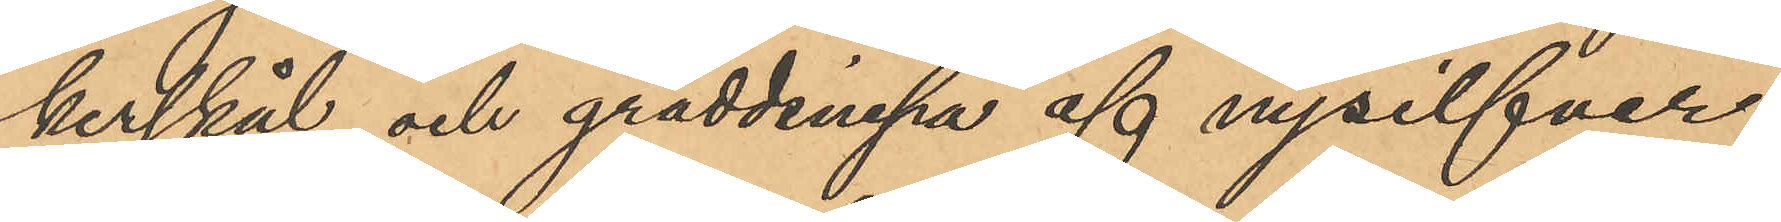kerskål och gräddsnipa af nysilfver,
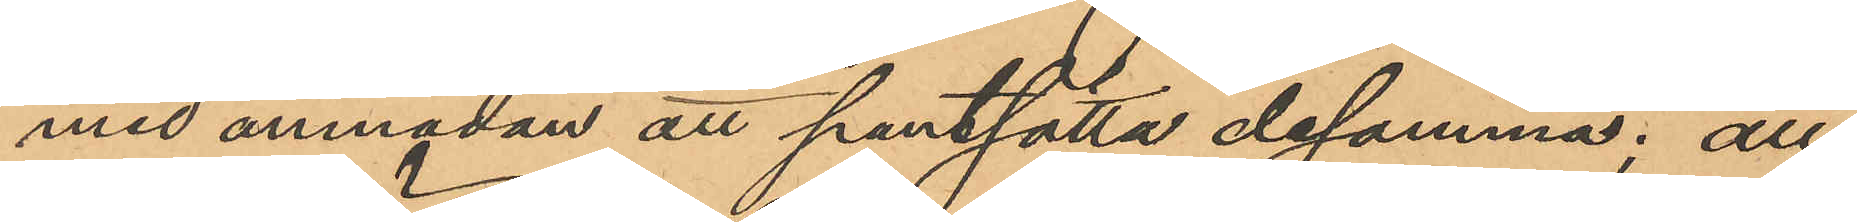med anmodan att pantsätta desamma; att
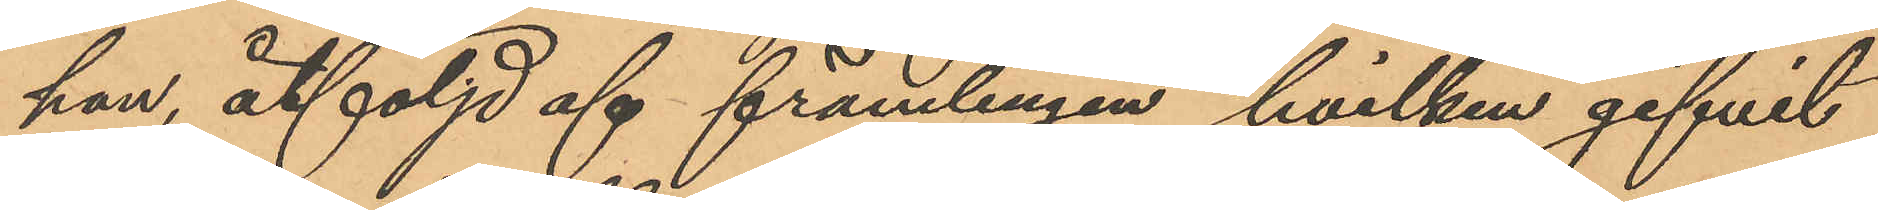han, åtföljd af främlingen, hvilken gifvit
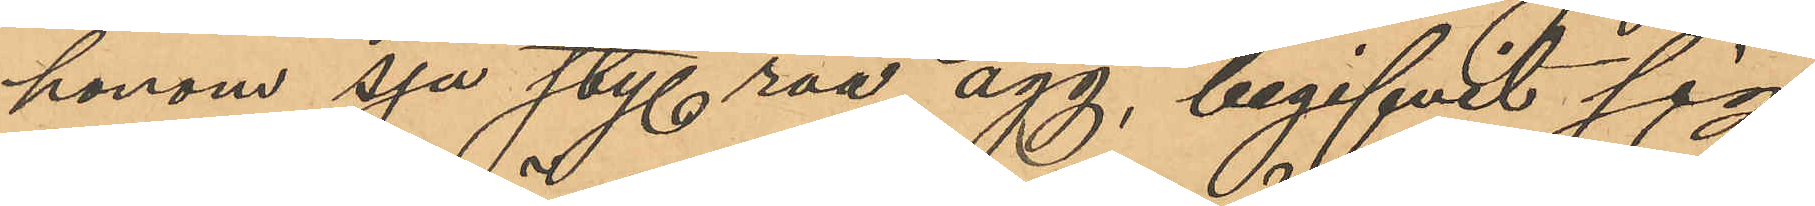honom sju sty. råa ägg, begifvit sig
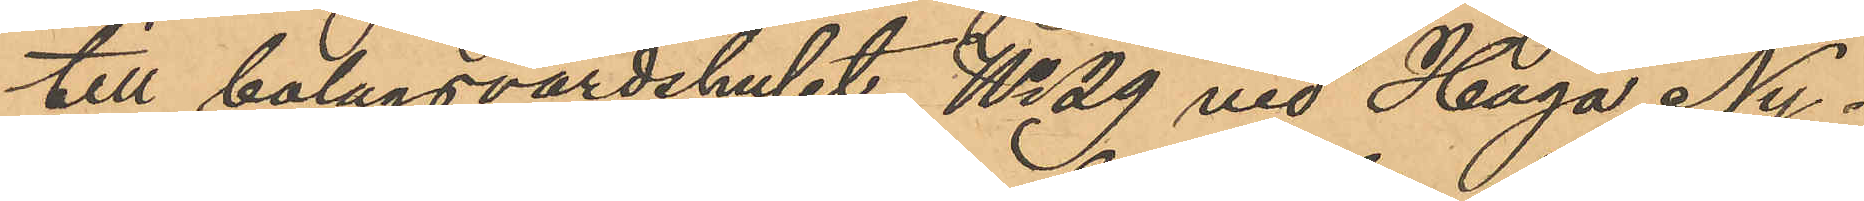till bolagsvärdshuset No 29 vid Haga Ny¬
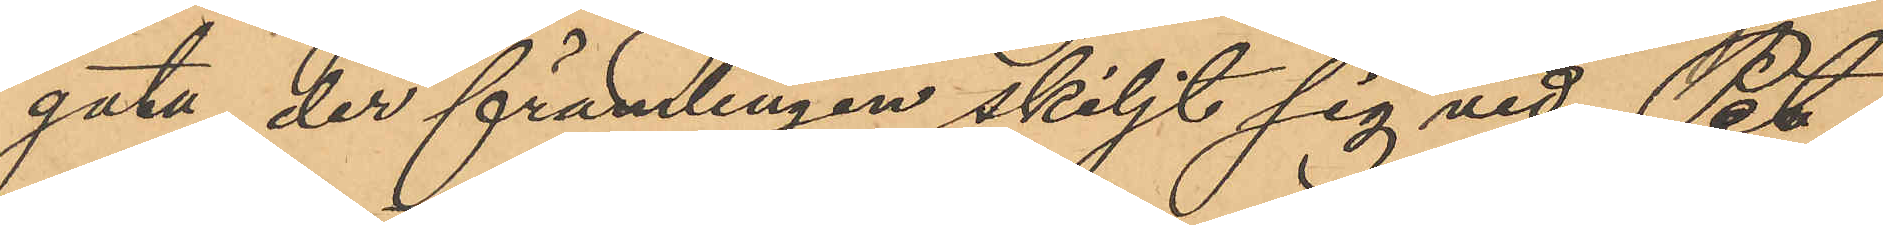gata, der främlingen skiljt sig vid Pet¬
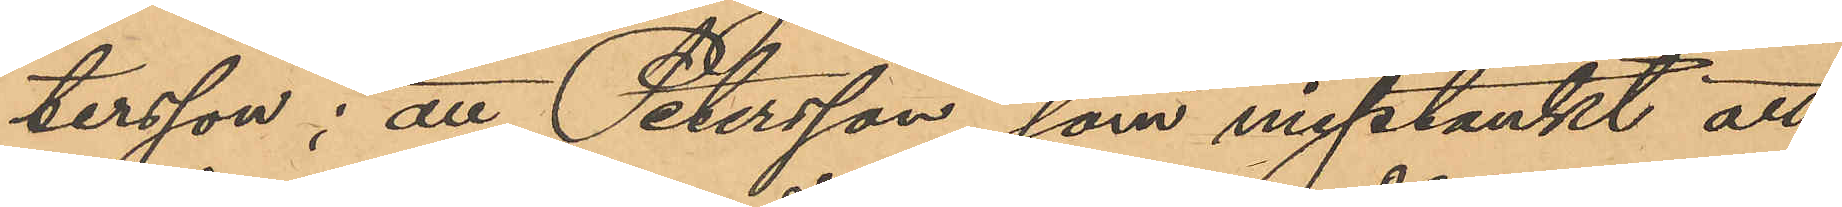tersson; att Petersson, som misstänkt att
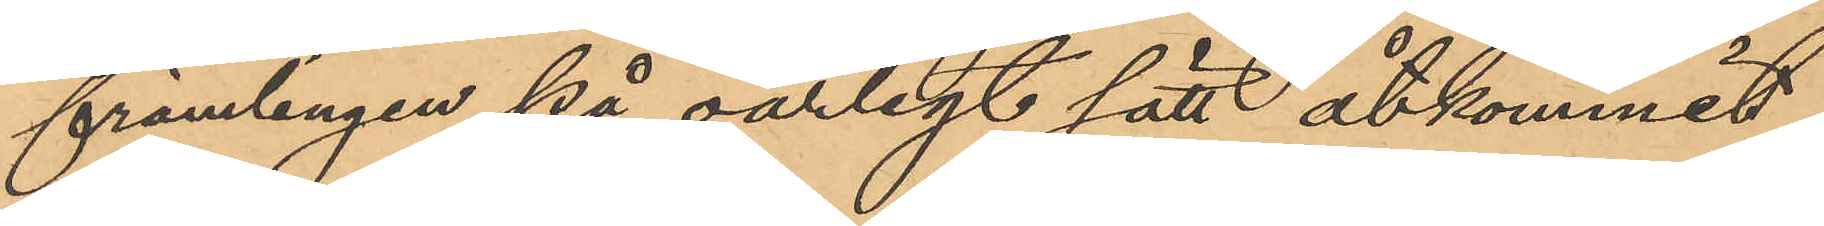främlingen på oärligt sätt åtkommit
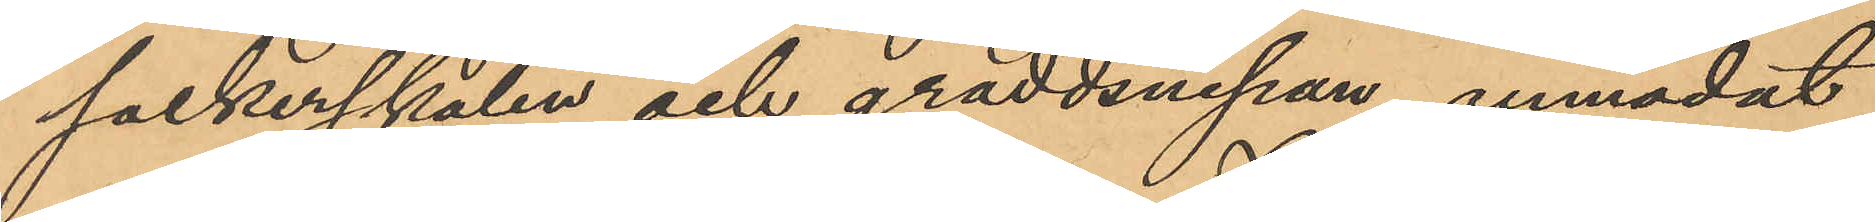sockerskålen och gräddsnipan, anmodat
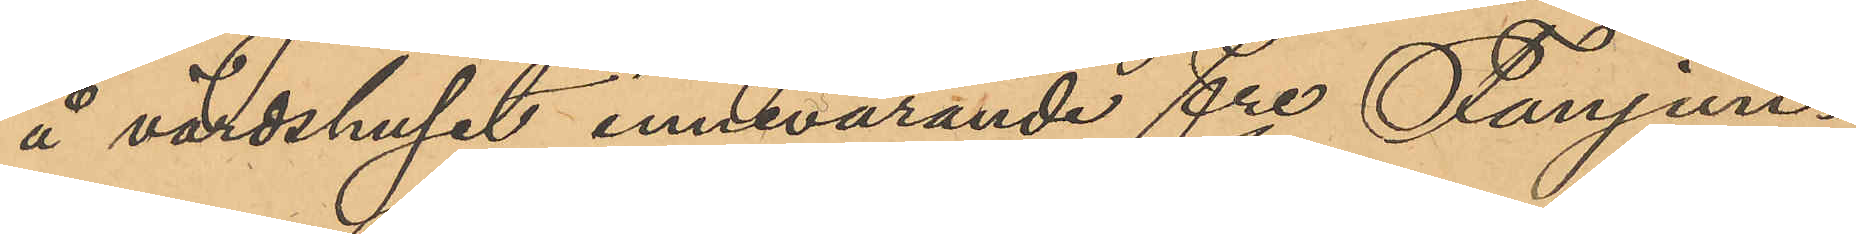å värdshuset innevarande fre Fanjun¬
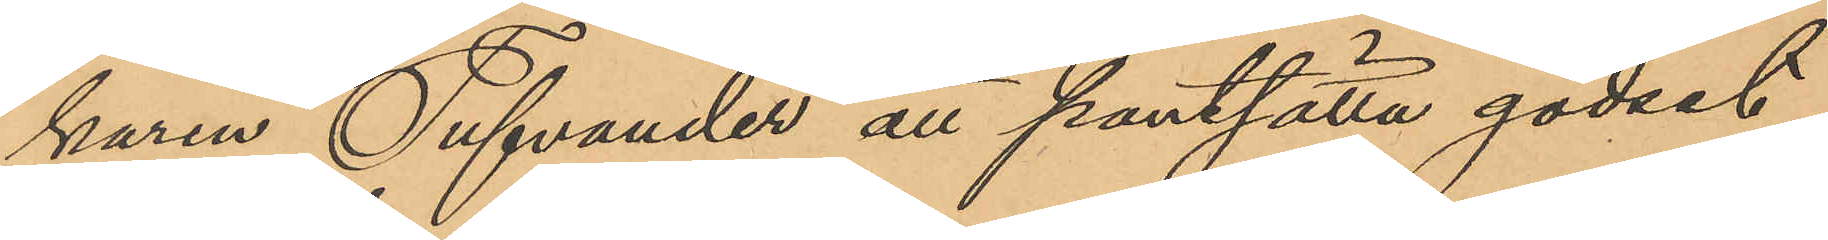karen Tufvander att pantsätta godset,
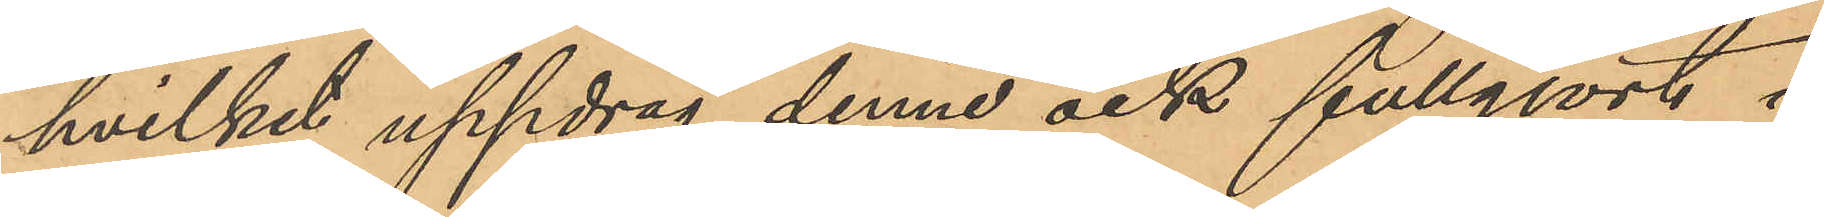hvilket uppdrag denne ock fullgjort i
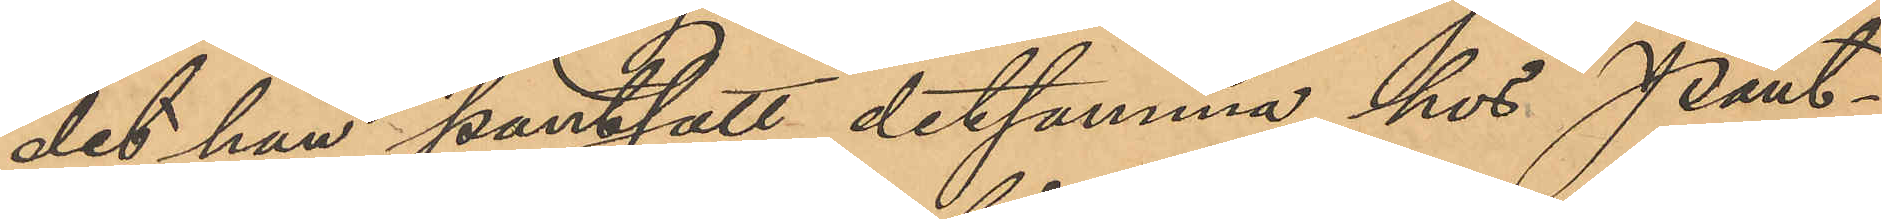det han pantsatt detsamma hos Pant¬
